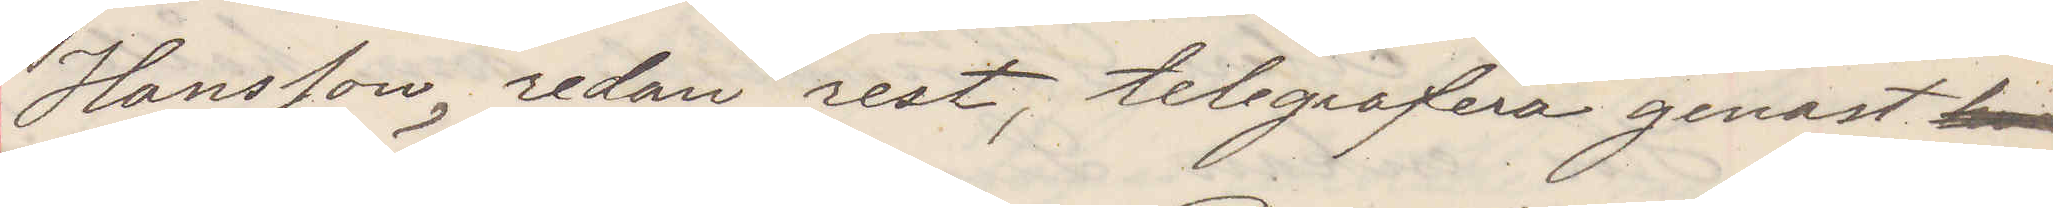Hansson redan rest, telegrafera genast
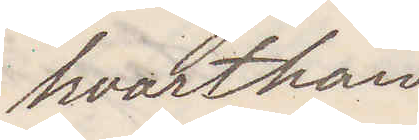hvarthän
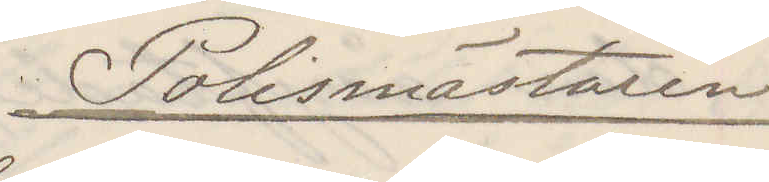Polismästaren
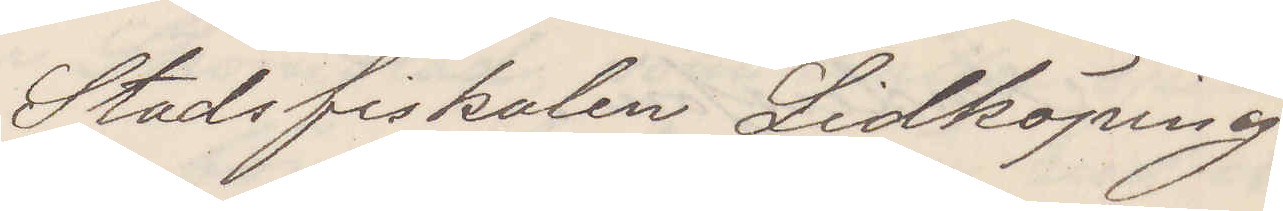Stadsfiskalen Lidköping
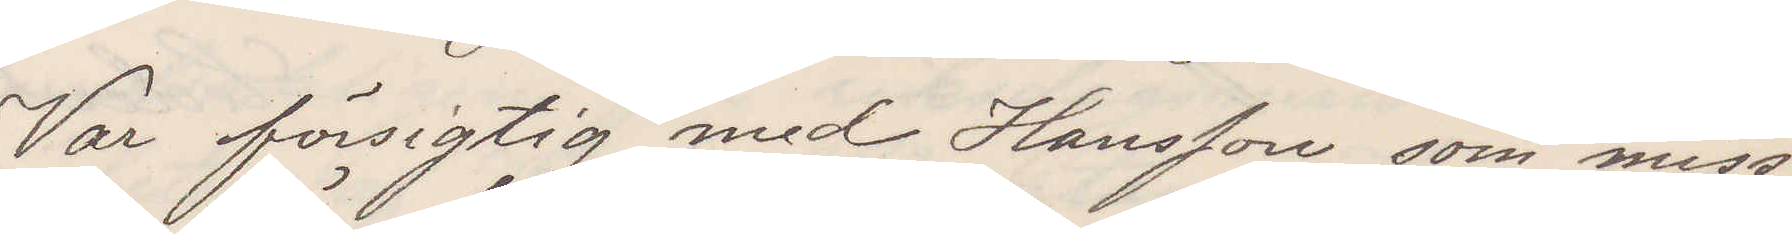Var försigtig med Hansson som miss¬
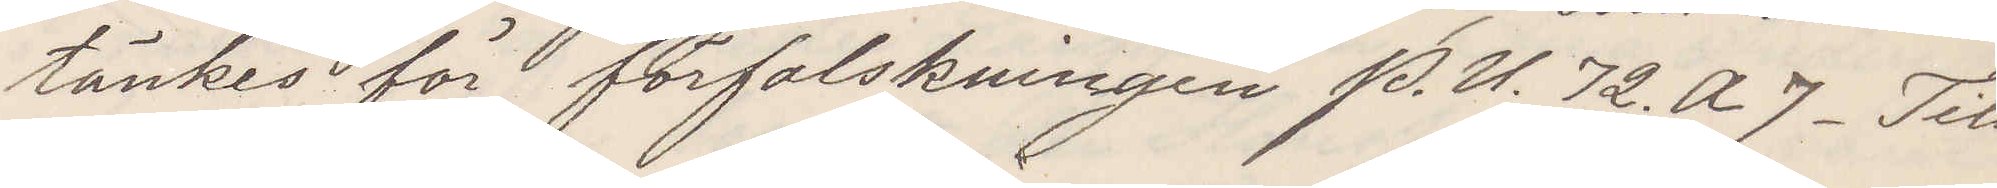tänkes för förfalskningen P. U. 72. A 7. Till¬
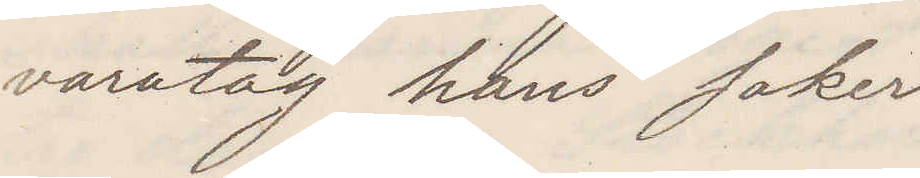varatag hans saker
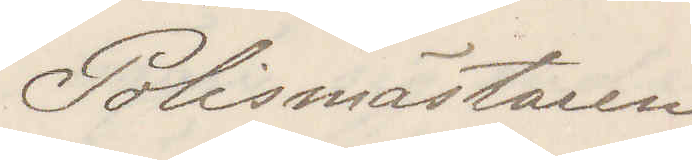Polismästaren
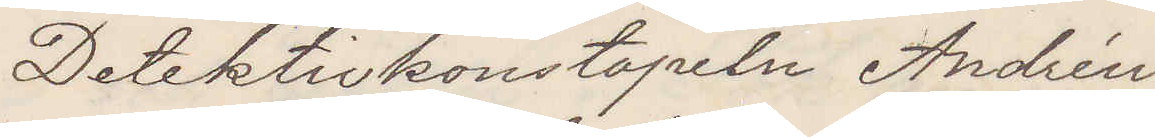Detektivkonstapeln Andrén
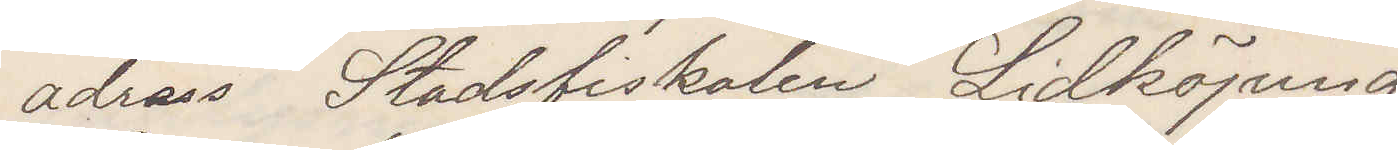adress Stadsfiskalen Lidköping
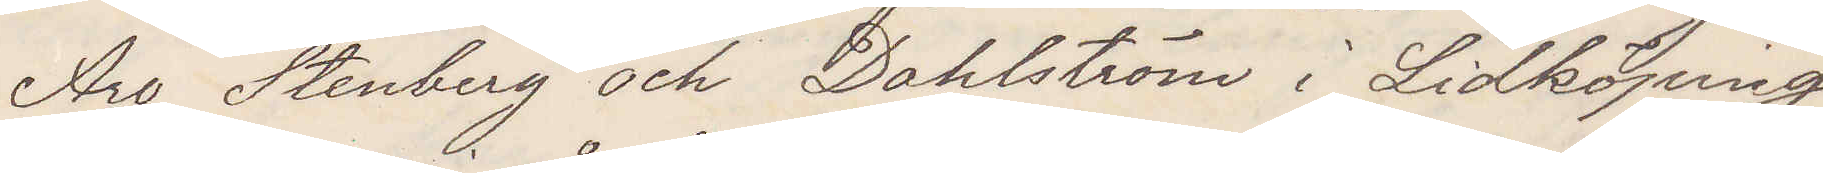Äro Stenberg och Dahlström i Lidköping
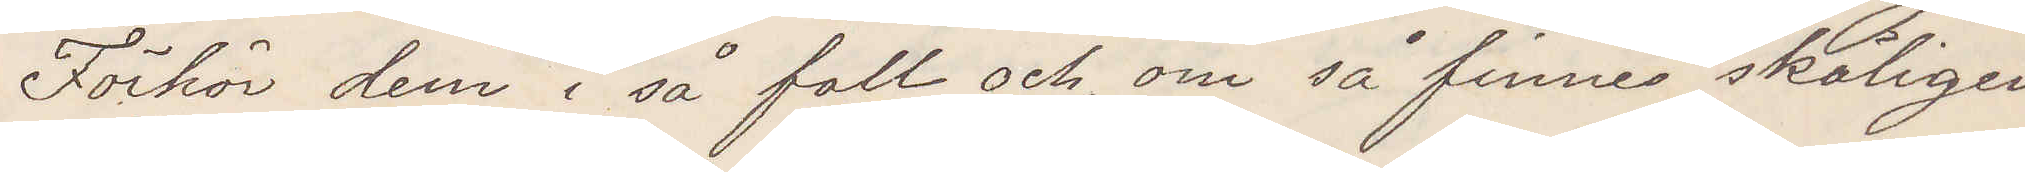Förhör dem i så fall och, om så finnes skäligen
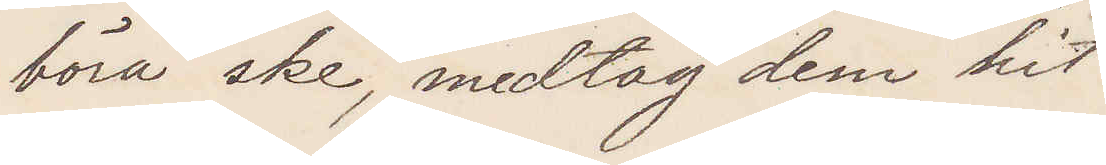böra ske, medtag dem hit.
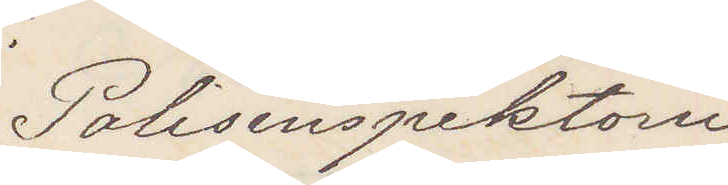Polisinspektorn
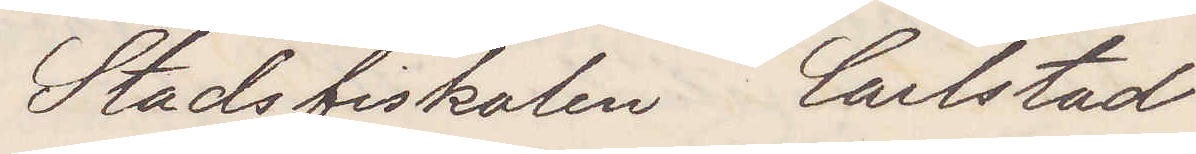Stadsfiskalen Carlstad
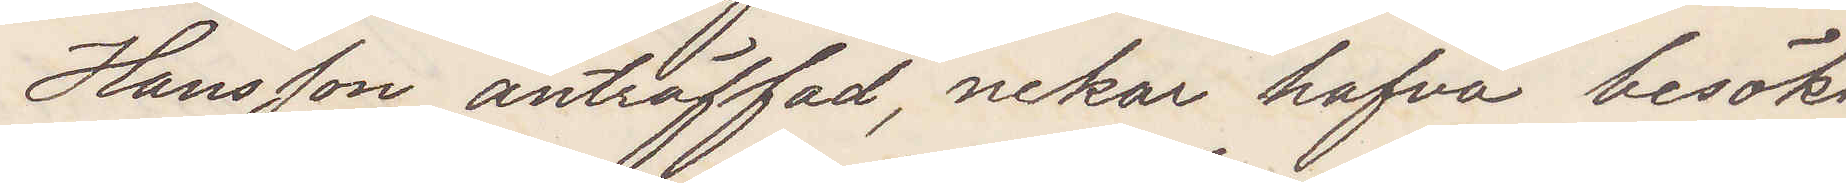Hansson anträffad, nekar hafva besökt
